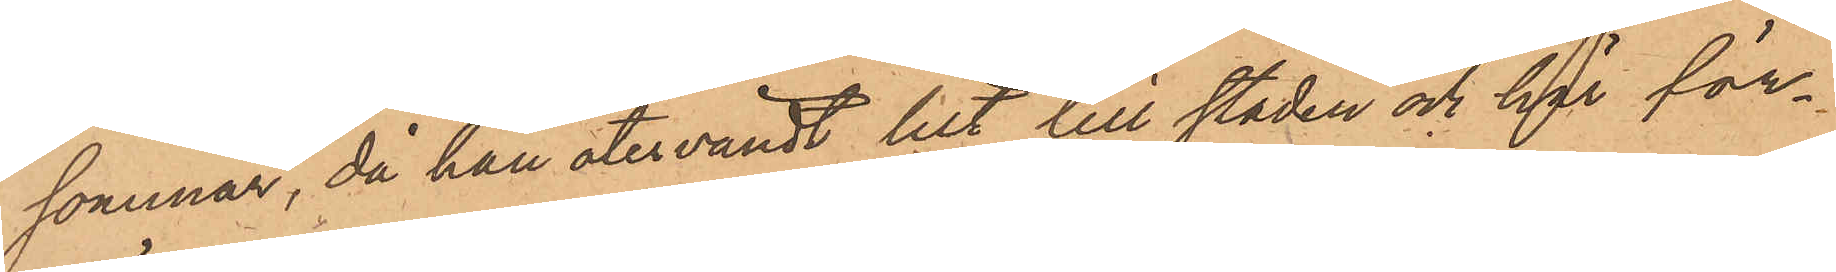sommar, då han återvändt hit till staden och har för¬
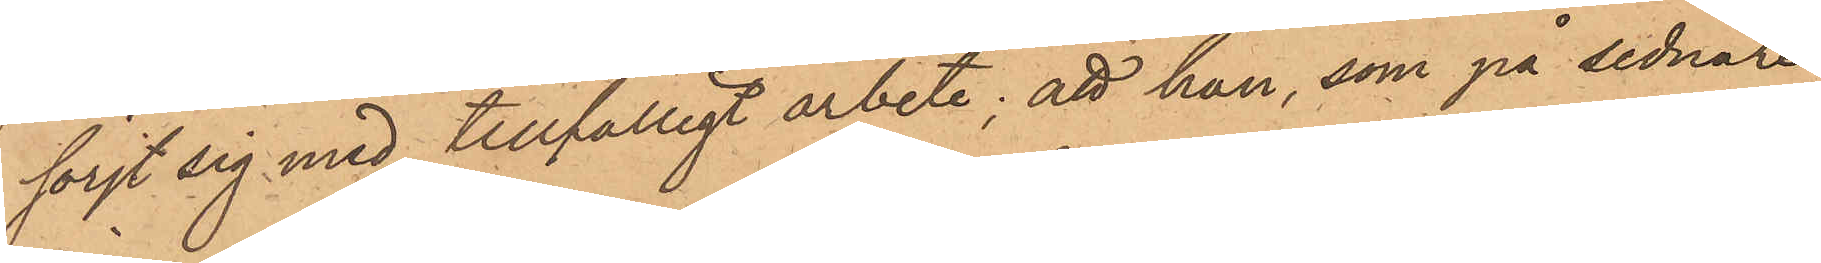förjt sig med tillfälligt arbete; att han, som på sednare
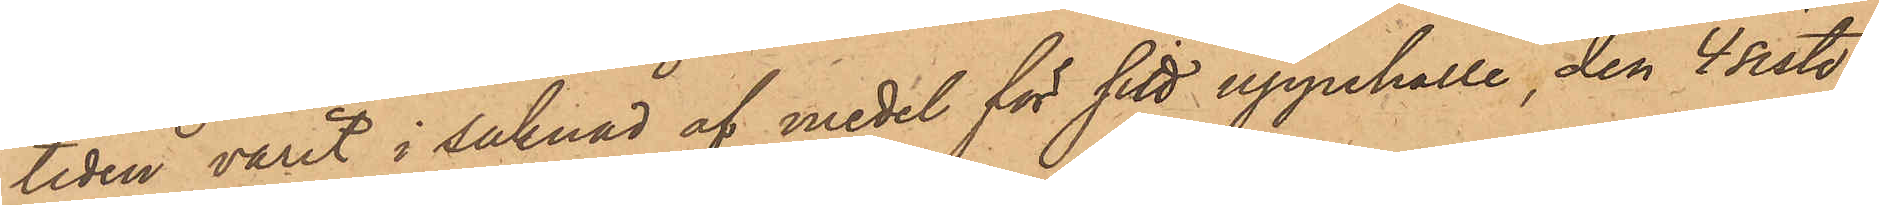tiden varit i saknad af medel för sitt uppehälle, den 4 sistl.
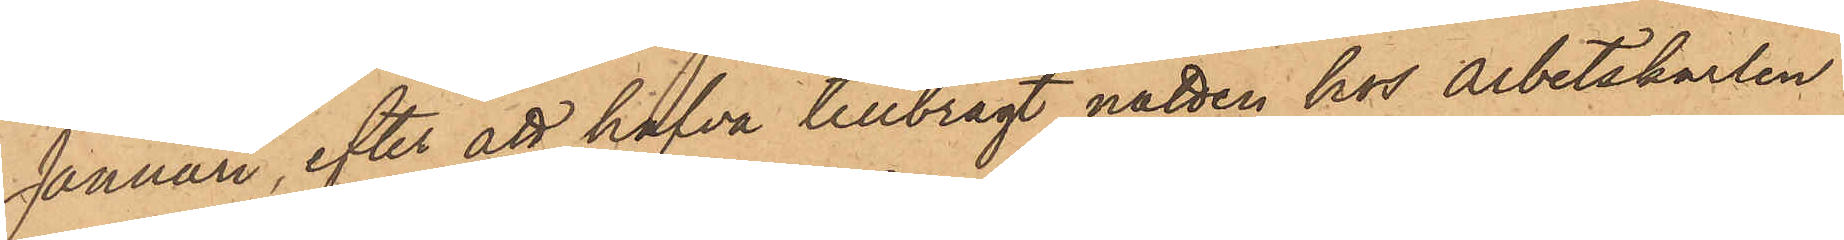Januari, efter att hafva tillbragt natten hos Arbetskarlen
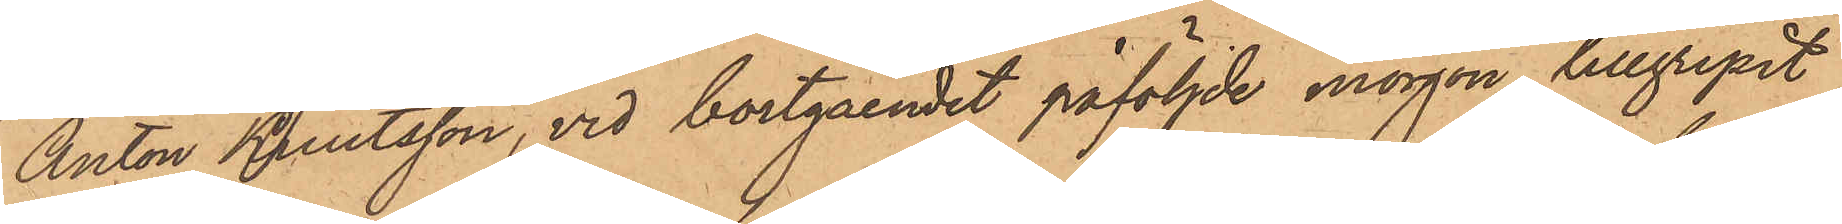Anton Berntsson, vid bortgåendet påföljde morgon tillgripit
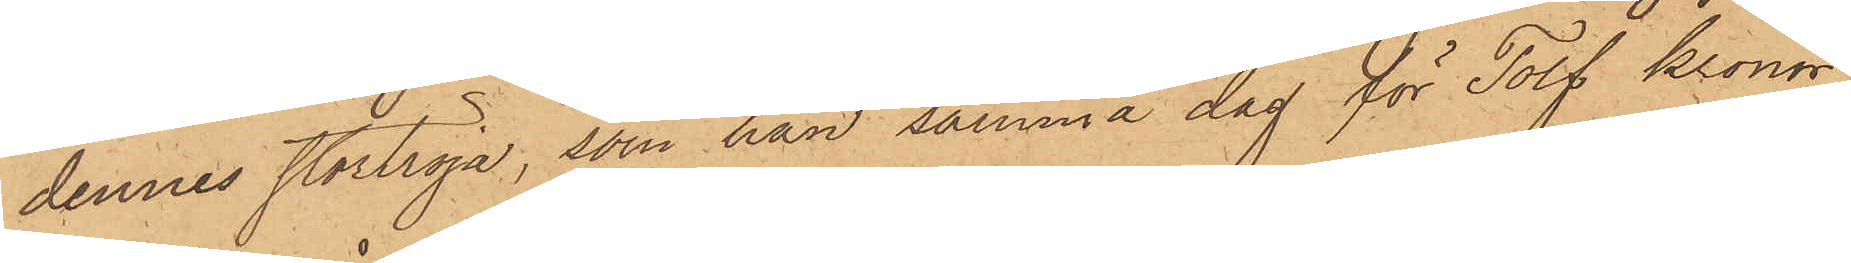dennes stortröja, som han samma dag för Tolf Kronor
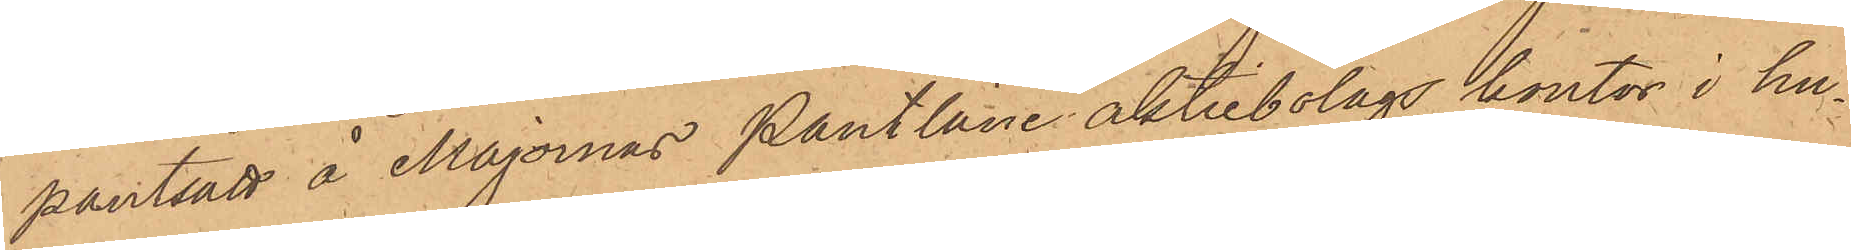pantsatt å Majornas Pantlåne aktiebolags kontor i hu¬
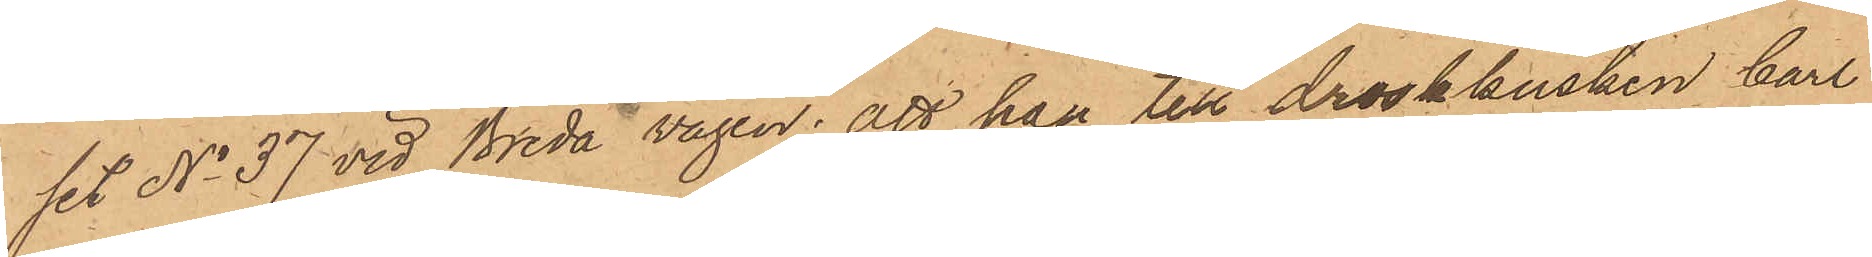set No 37 vid Breda vägen; att han till droskkusken Carl
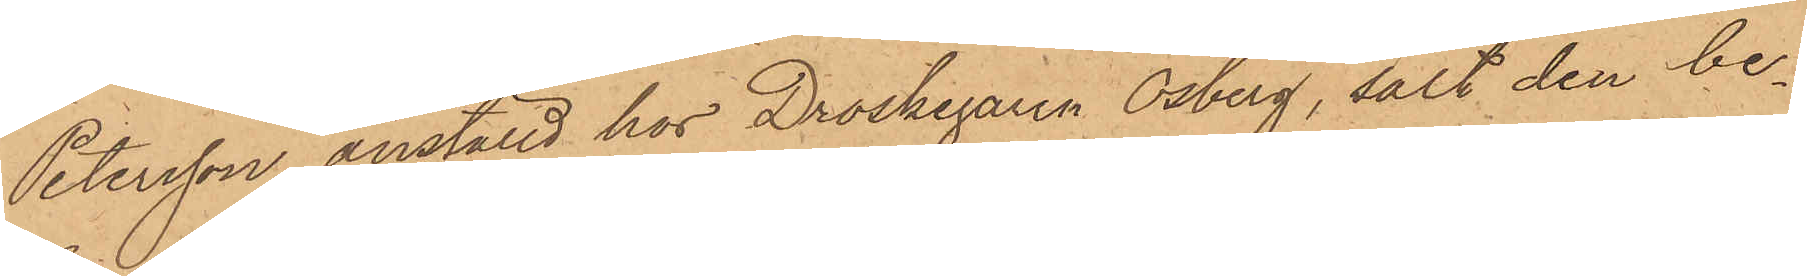Petersson anställd hos Droskegaren Osberg, sålt den be¬
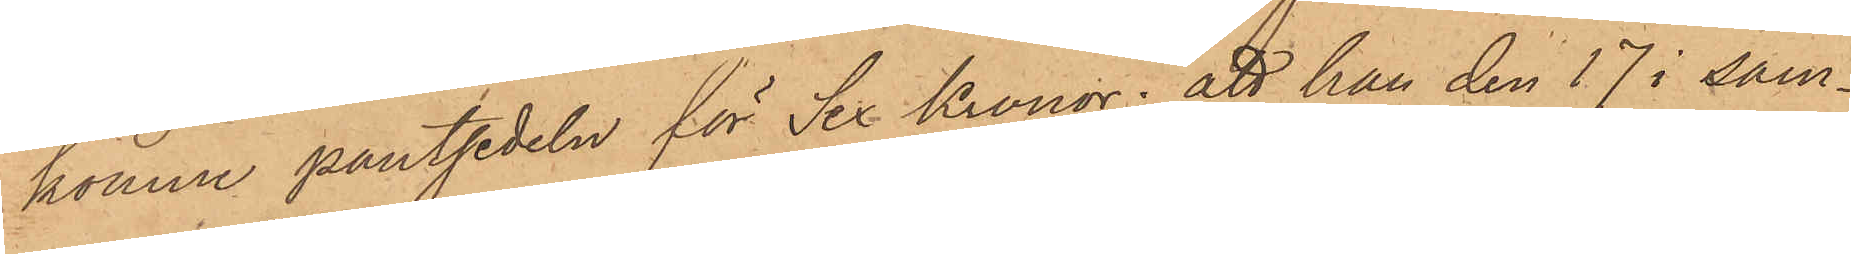komne pantsedeln för Sex Kronor; att han den 17 i sam¬
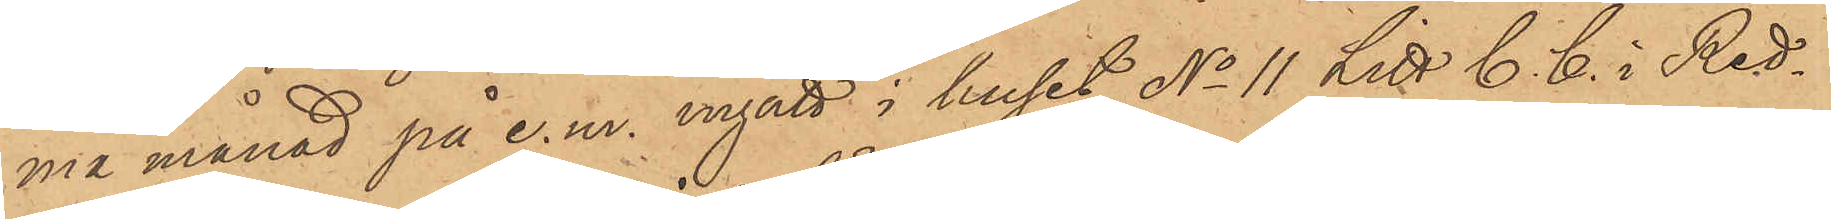ma månad på e.m. ingått i huset No 11 Litt C. C. i Red¬
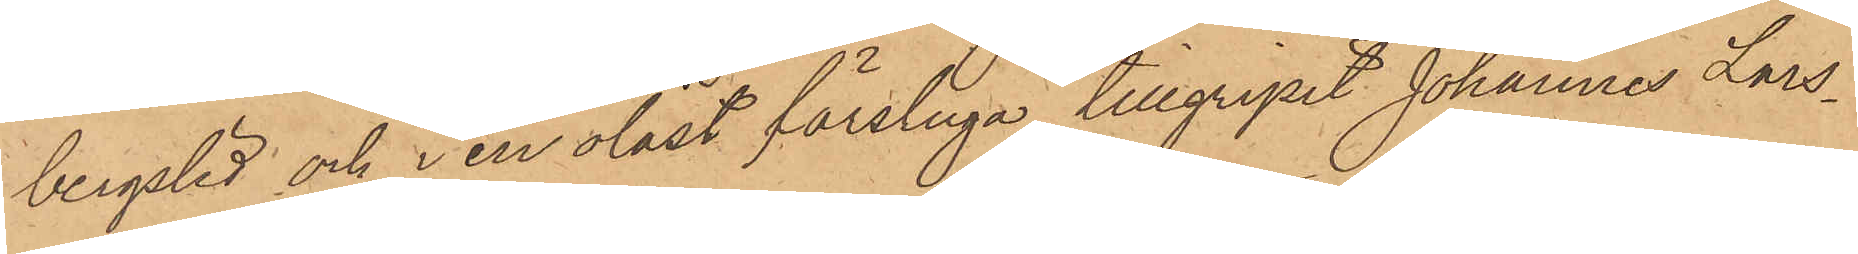bergslid och i en olåst förstuga tillgripit Johannes Lars¬
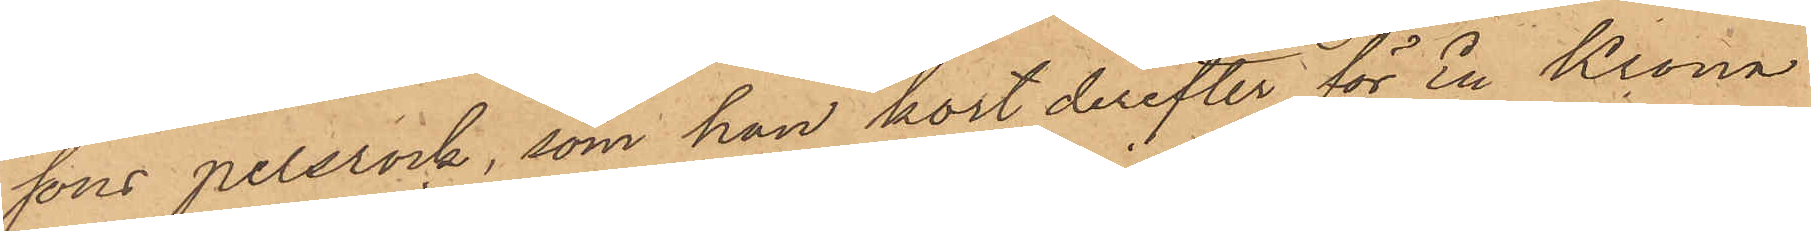sons pelsrock, som han kort derefter för En Krona
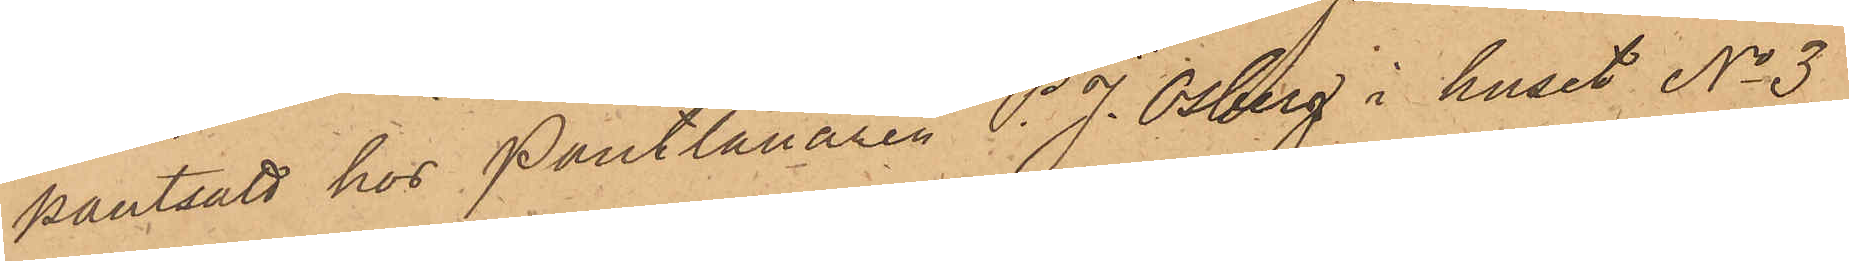pantsatt hos Pantlånaren P. J. Osberg i huset No 3
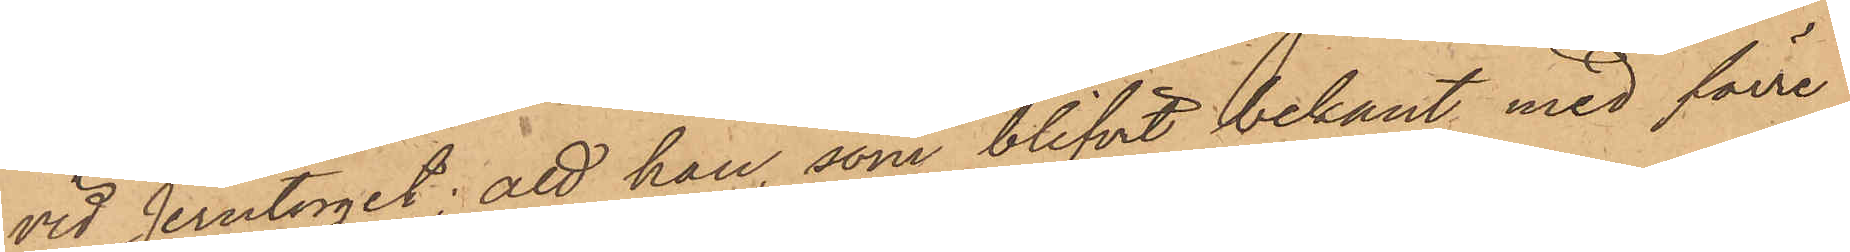vid Jerntorget; att han, som blifvit bekant med förre
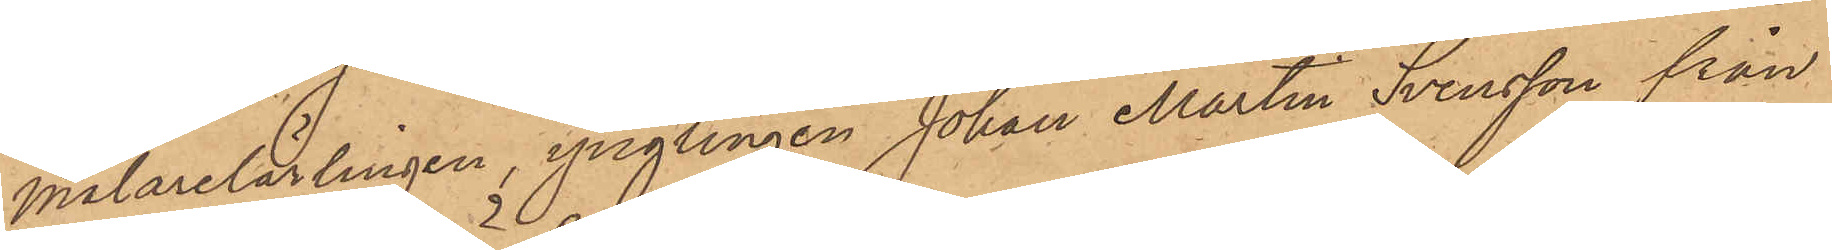målarelärlingen, ynglingen Johan Martin Svensson från
